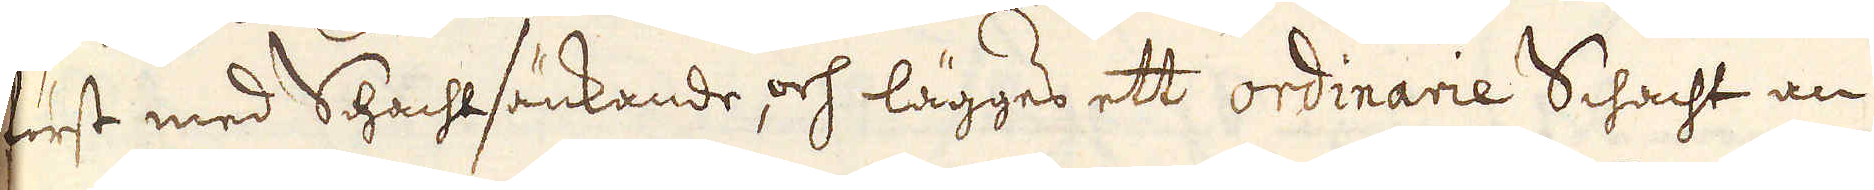först med Schachtsänkande, och lägges ett ordinarie Schacht an
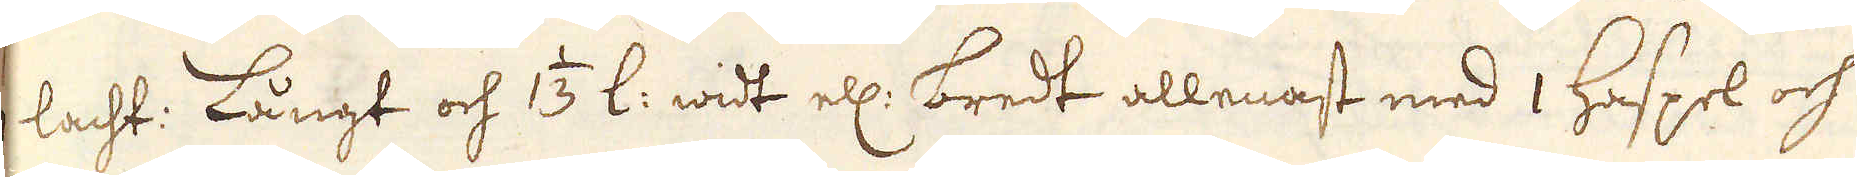1 lacht: Långt och 1 1/3 l: widt ell: bredt allenast med 1 Haspel och
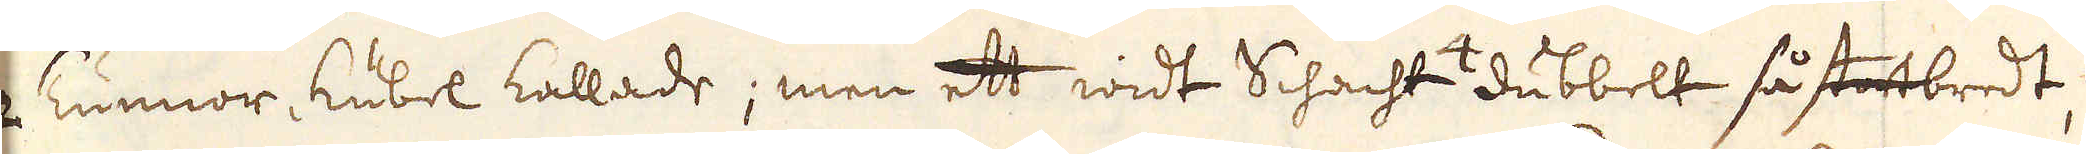2 Tunnor, Kubel kallade; men ett widt Schacht 4dubbelt så stortbredt,
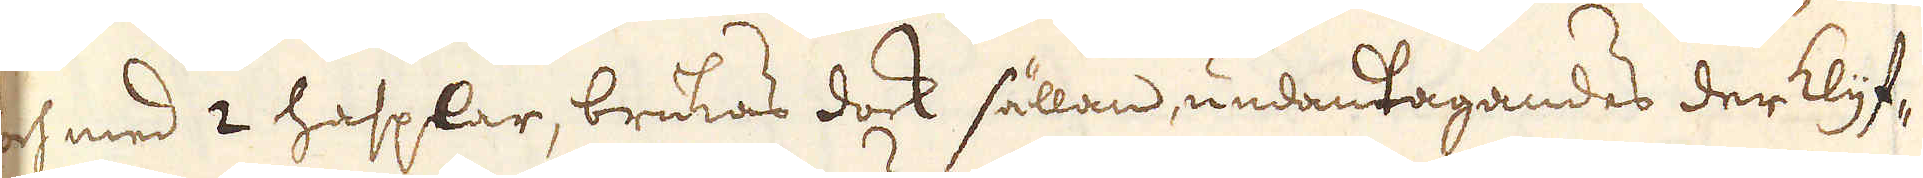och med 2 hasplar, brukas dock sällan, undantagandes der klyf-
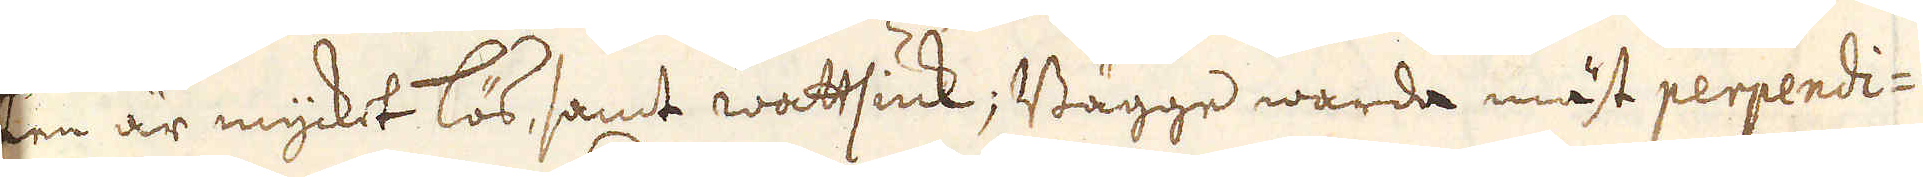ten är mycket lös, samt wattsiuk; Bägge warda mäst perpendi-
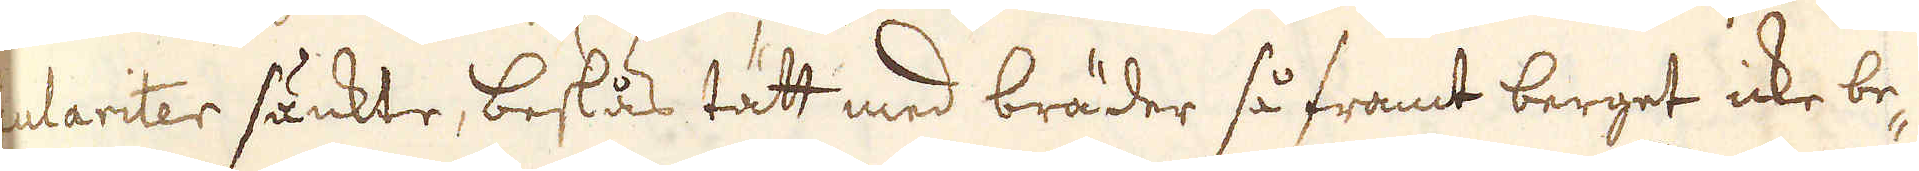culariter sänkte, beslås tätt med bräder så framt berget icke be-
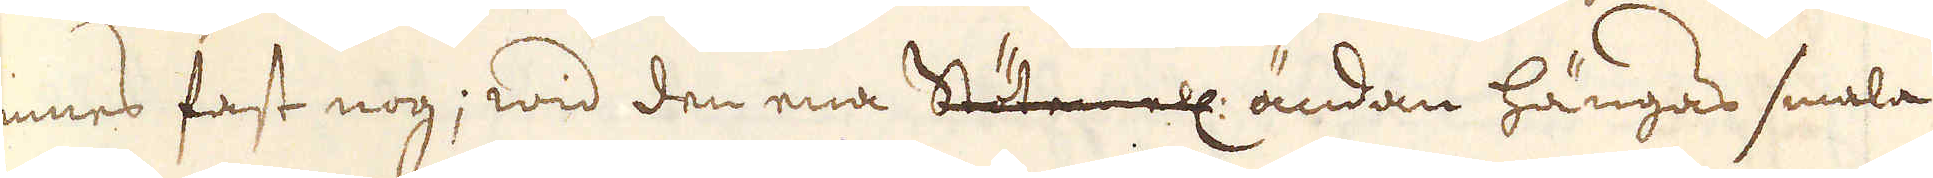finnes fast nog; wid den ena Stöten ell: ändan hängas smala
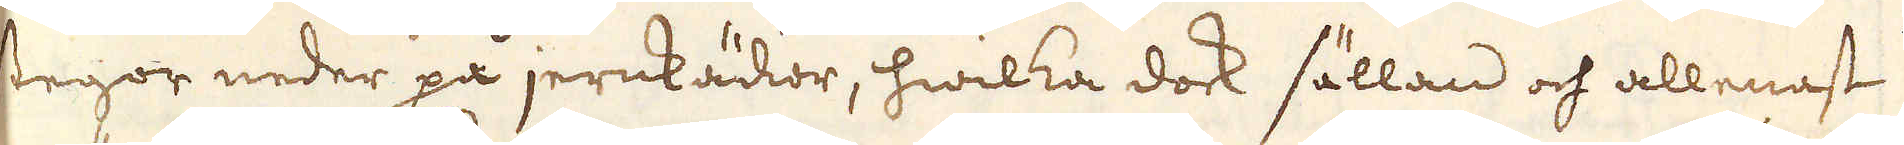stegor neder på jernkädior, hwilka dock sällan och allenast
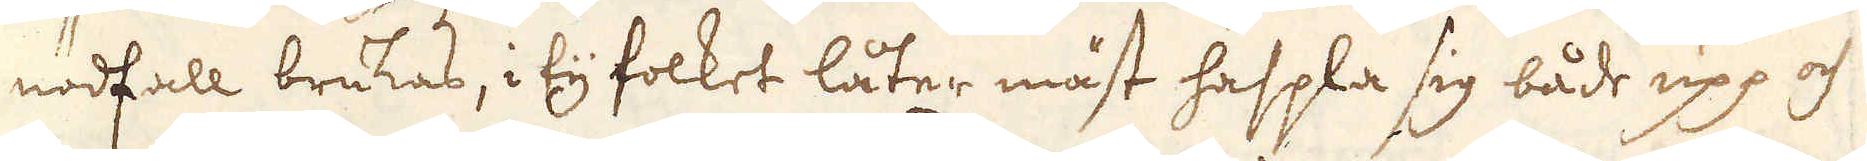i nödfall brukas, i ty folket låter måst haspla sig både upp och
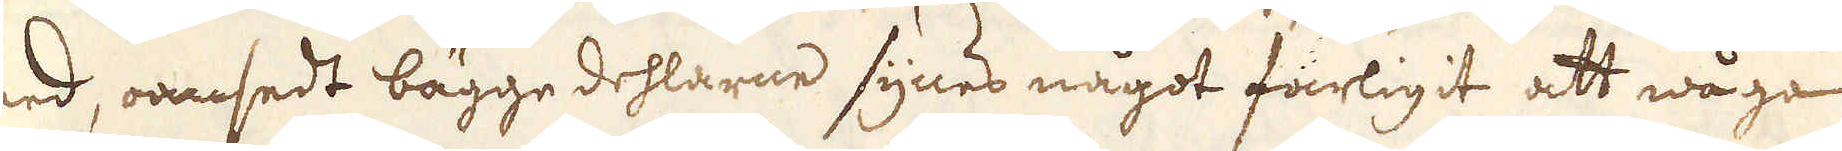ned, oansedt bägge dehlarne synes något farligit att wåga
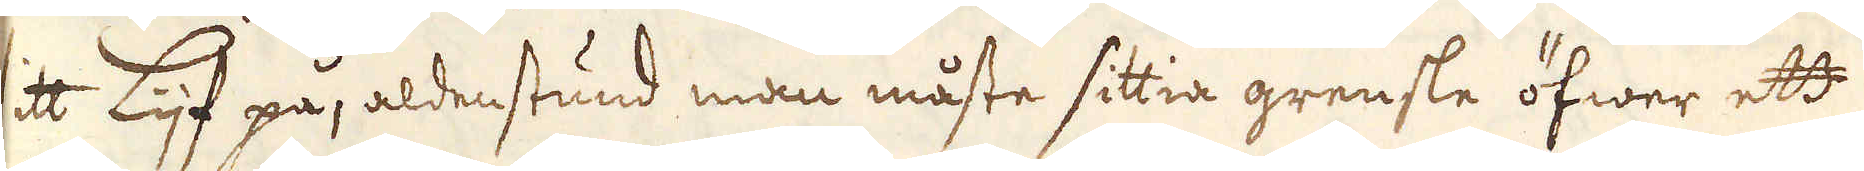sitt Lijf på, aldenstund man måste sittia grensle öfwer ett
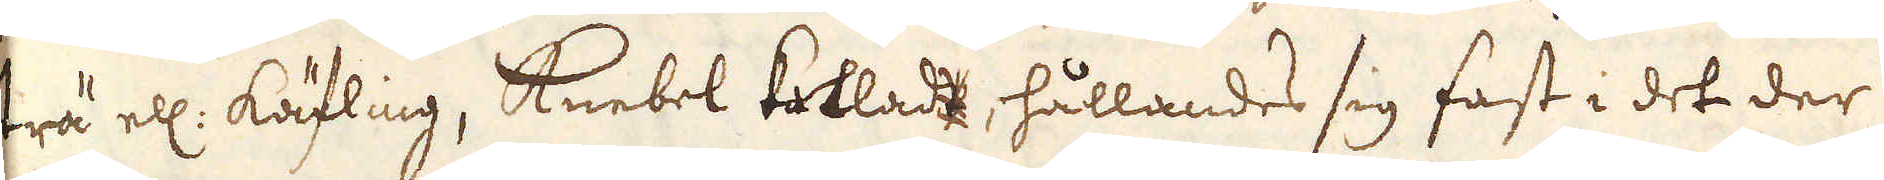trä ell: käfling, Knebel kallad, hållandes sig fast i det der
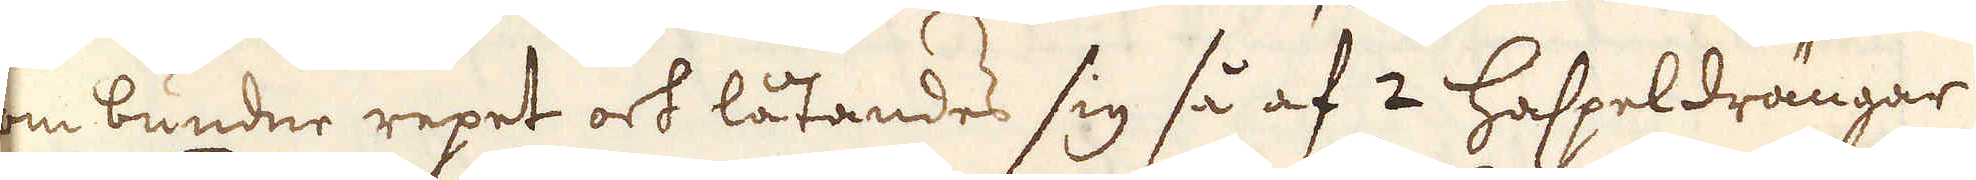om bundne repet och låtandes sig så af 2 Haspeldrängar
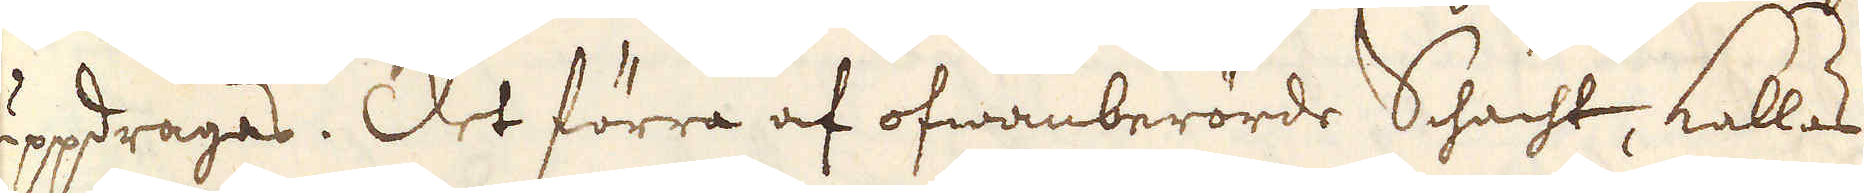uppdragas. Det förra af ofwanberörde Schacht, kallas
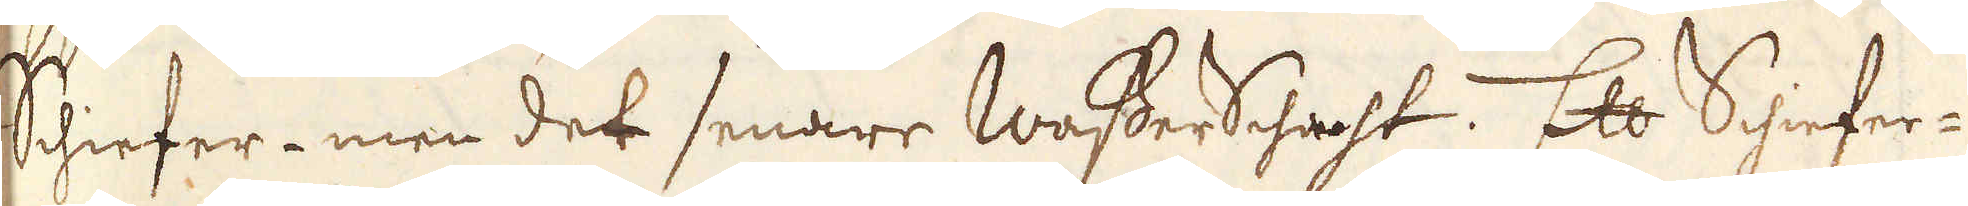Schiefer- men det senare Wasser Schacht. Ett Schiefer-
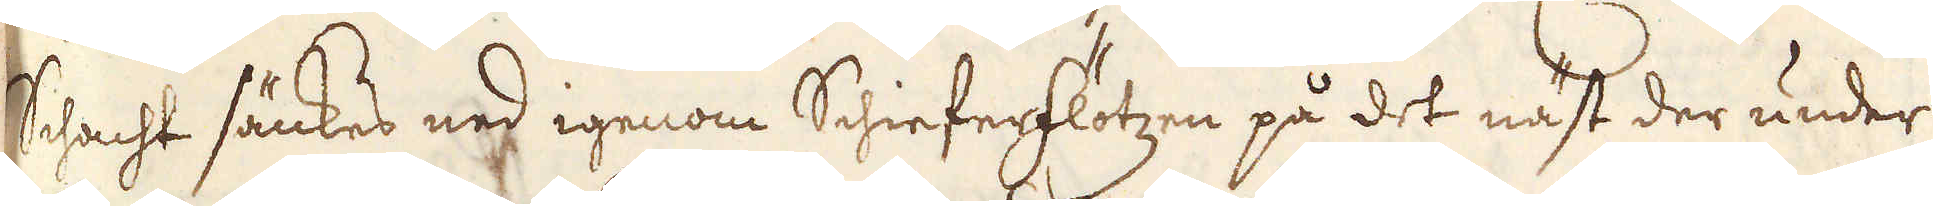Schacht sänkes ned igenom Schieferflötzen på det näst der under
